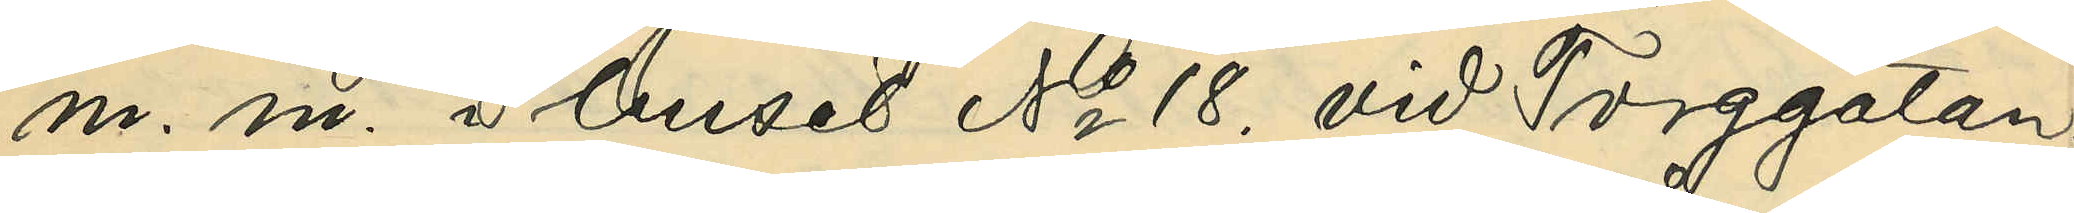m. m. i huset No 18. vid Torggatan:
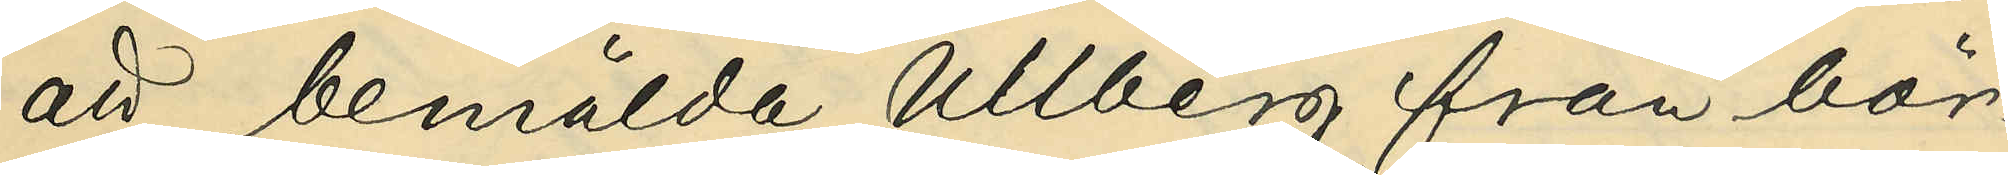att bemälda Ullberg från bör¬
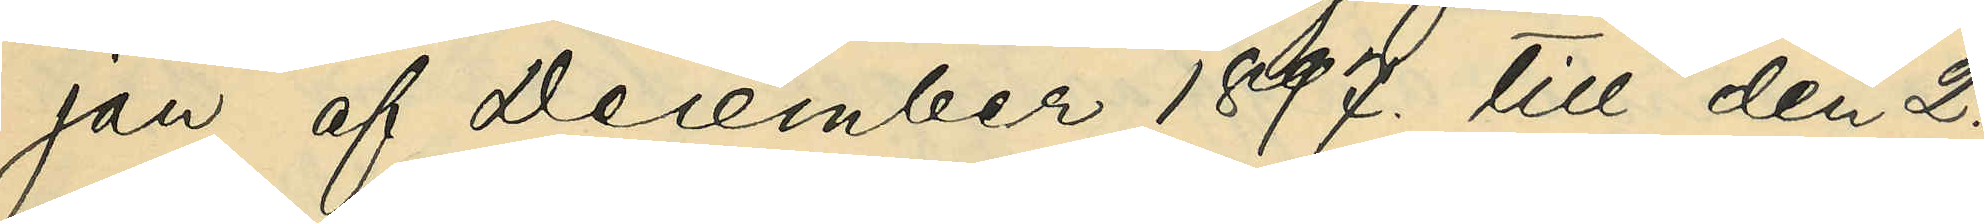jan af December 1897. till den 2.
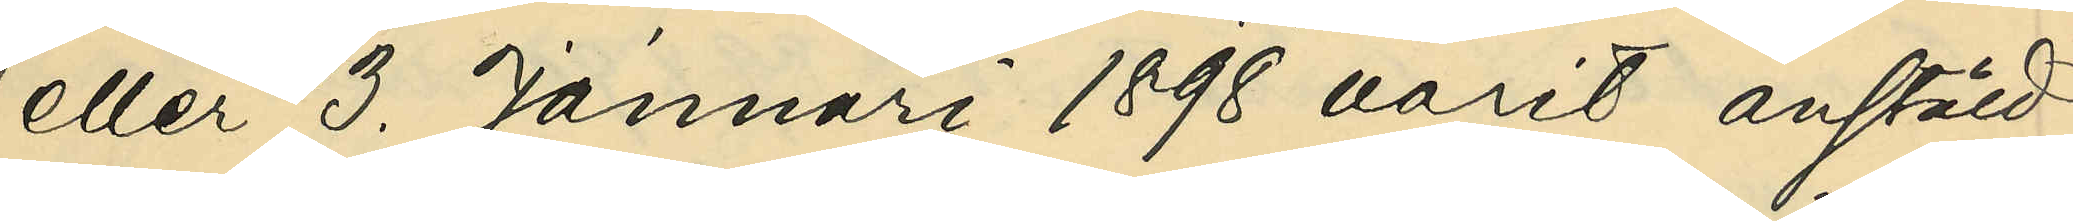eller 3. Januari 1898 varit anstäld
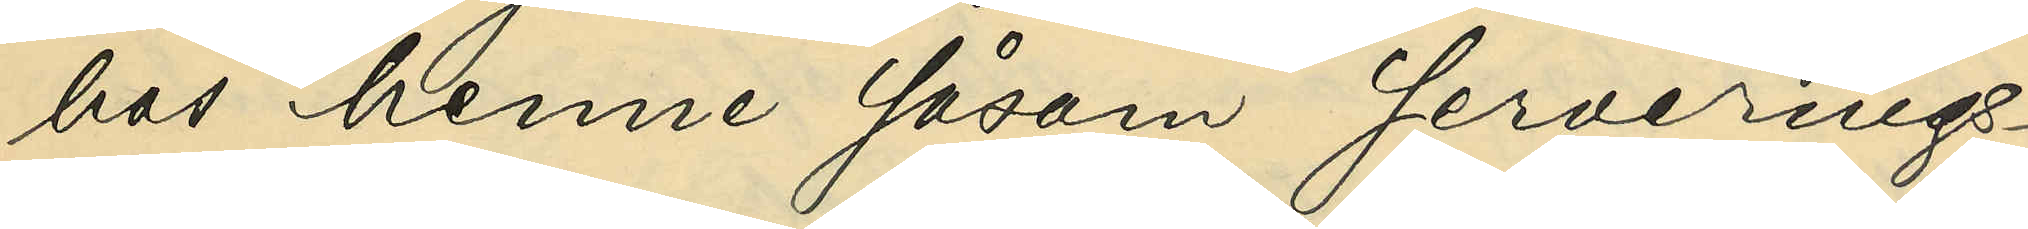hos henne såsom serverings¬
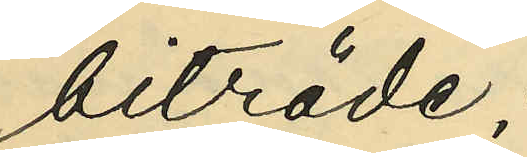biträde;
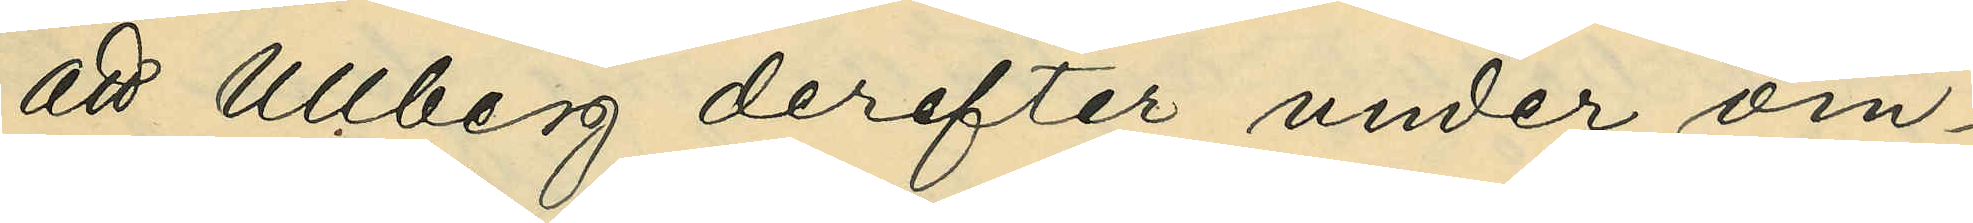att Ullberg derefter under om¬
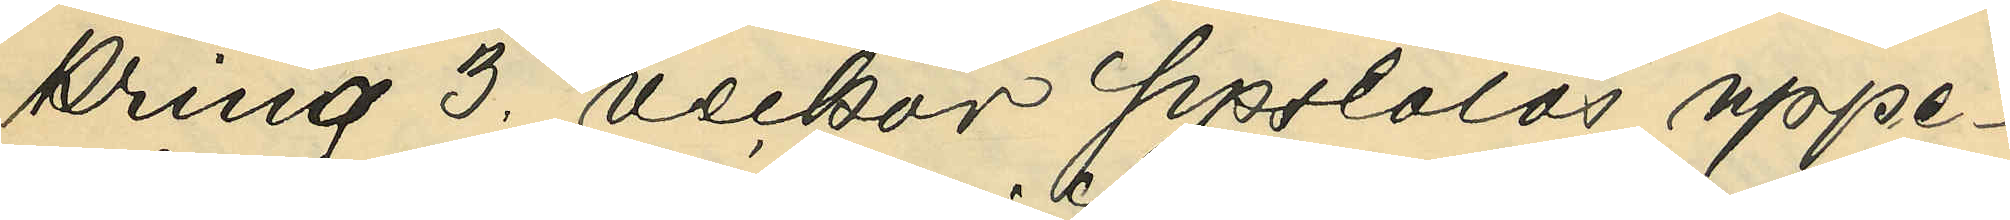kring 3. veckor sysslolös uppe¬
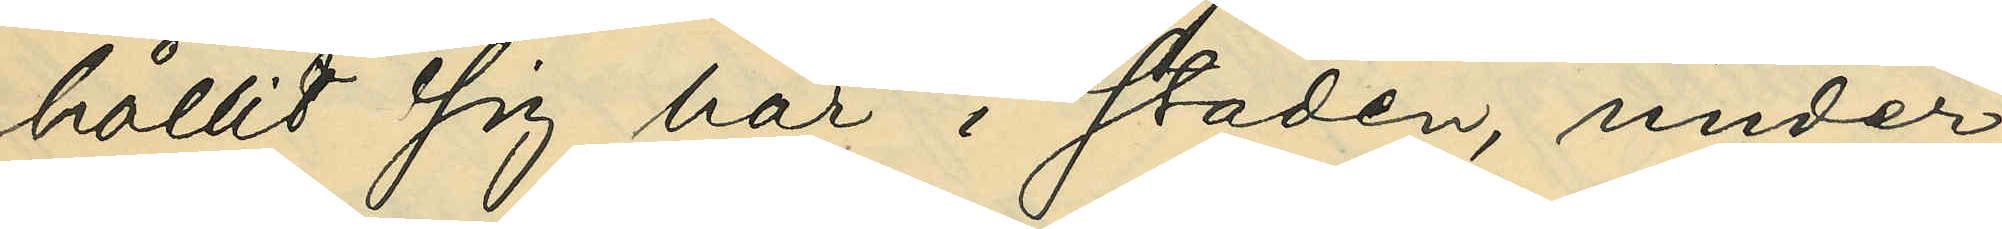hållit sig här i staden, under
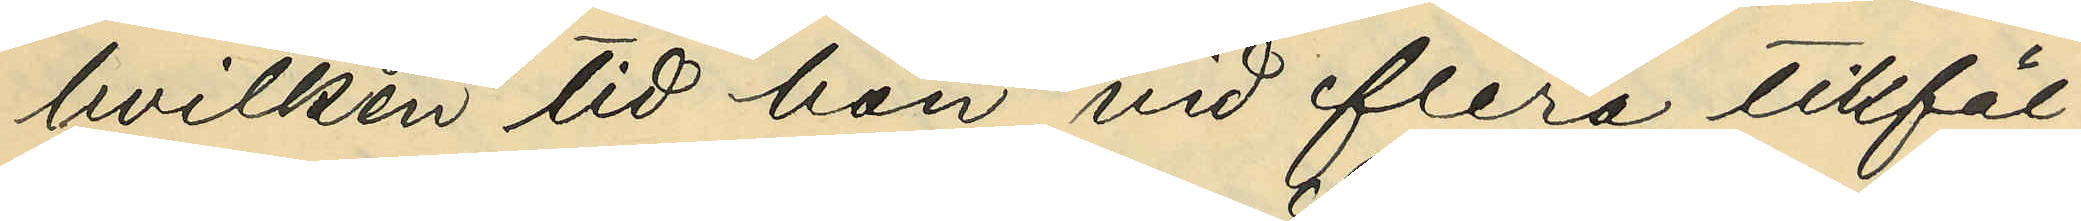hvilken tid hon vid flera tillfäl¬
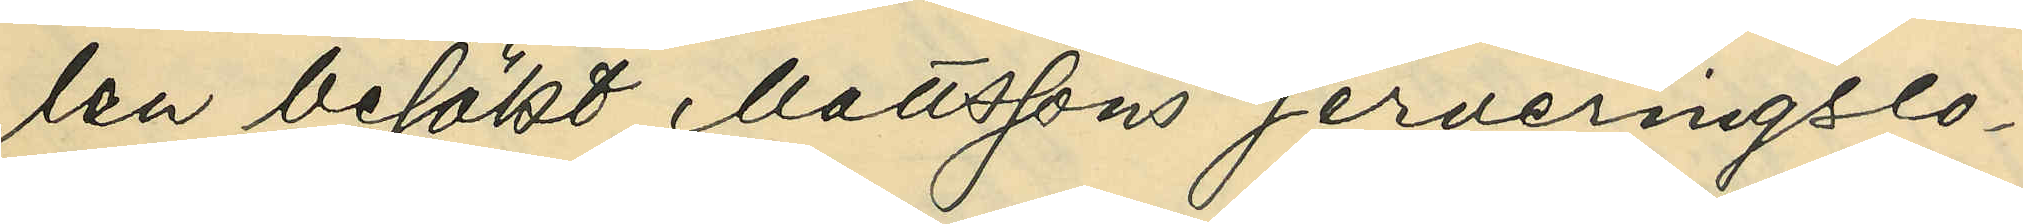len besökt Mattssons serveringslo¬
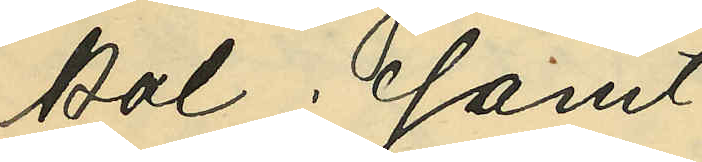kal; samt
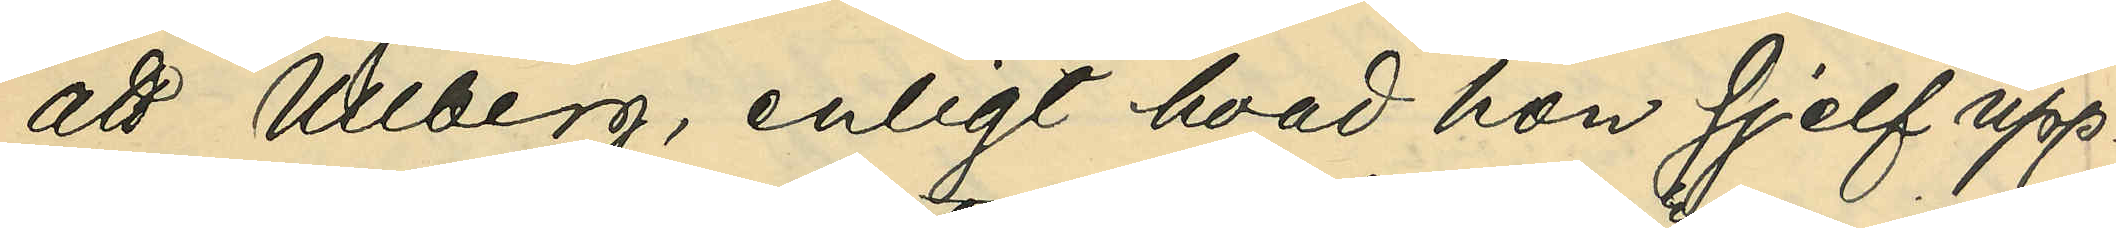att Ullberg, enligt hvad hon sjelf upp¬
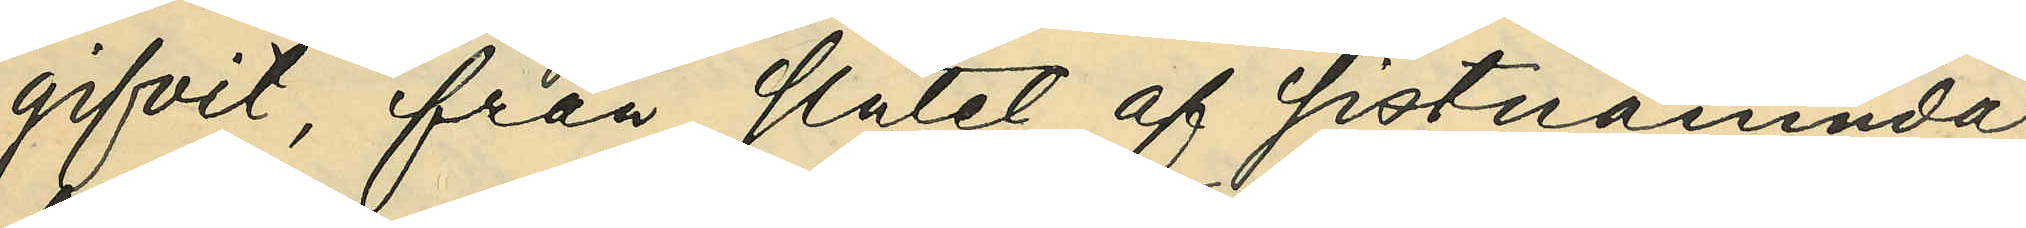gifvit, från slutet af sistnämnda
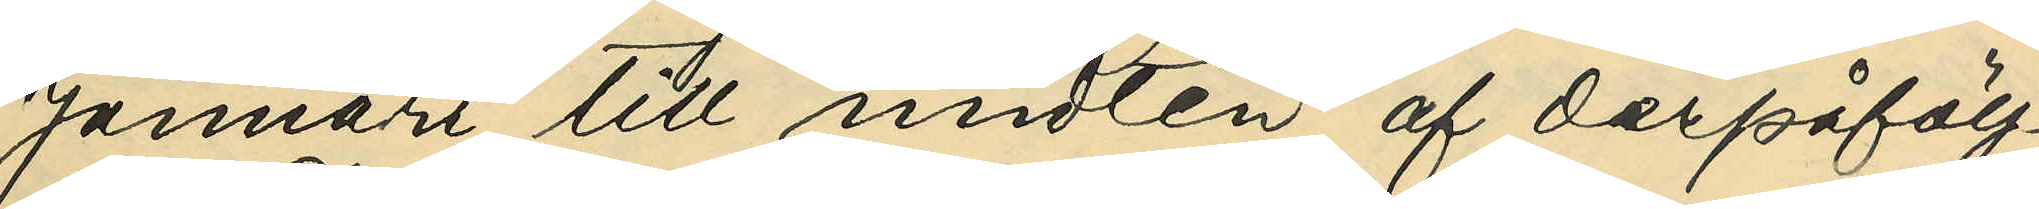Januari till midten af derpåfölj¬
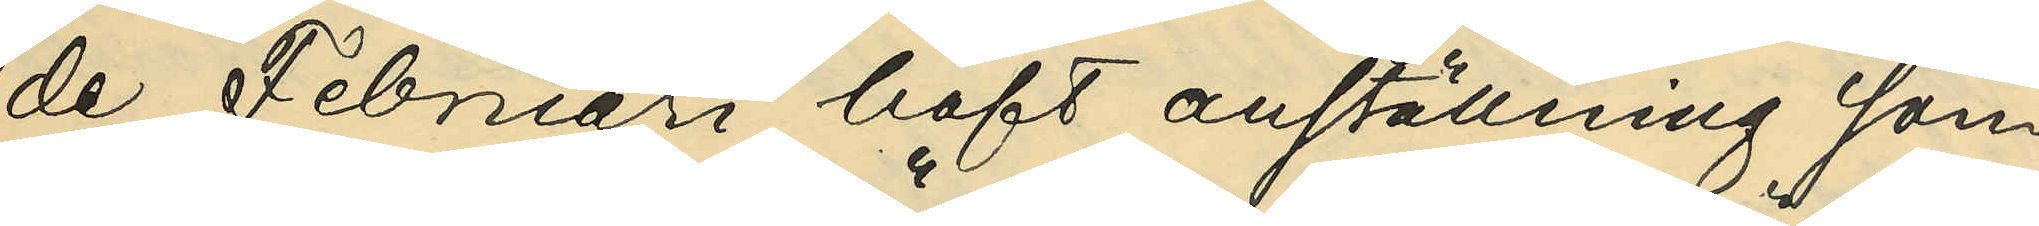de Februari haft anställning som
